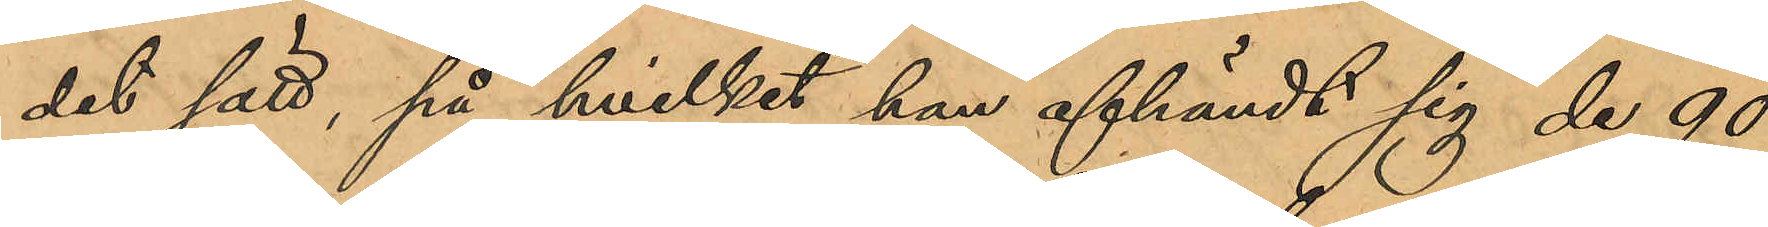det sätt, på hvilket han afhändt sig de 90
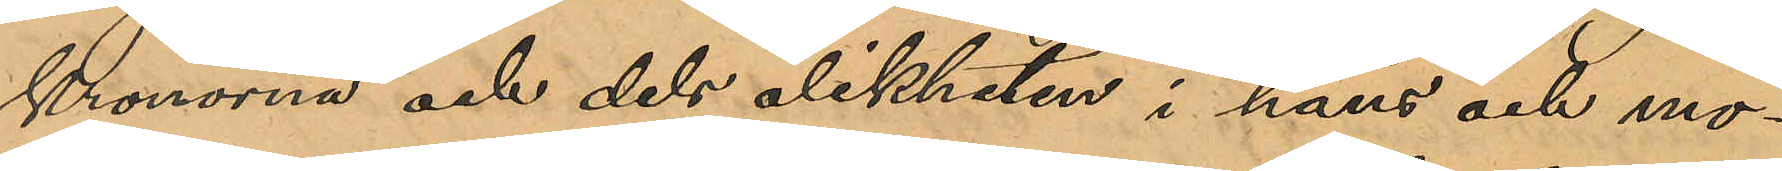kronorna och dels olikheten i hans och mo¬
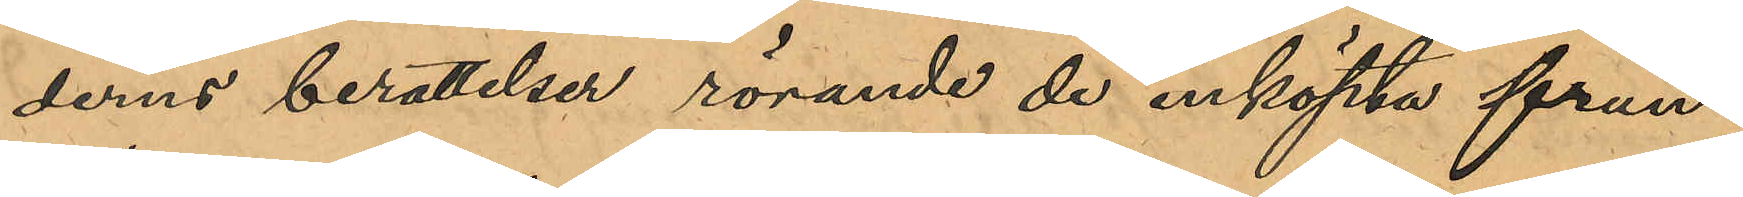derns berättelser rörande de inköpta frun¬
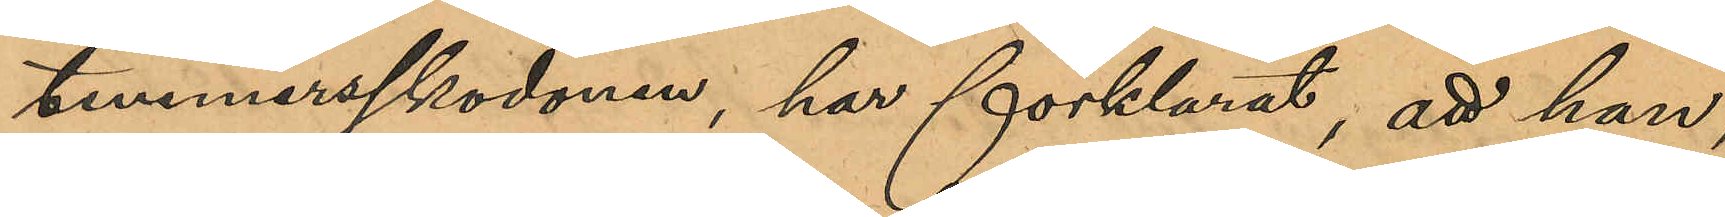timmerskodonen, har förklarat, att han
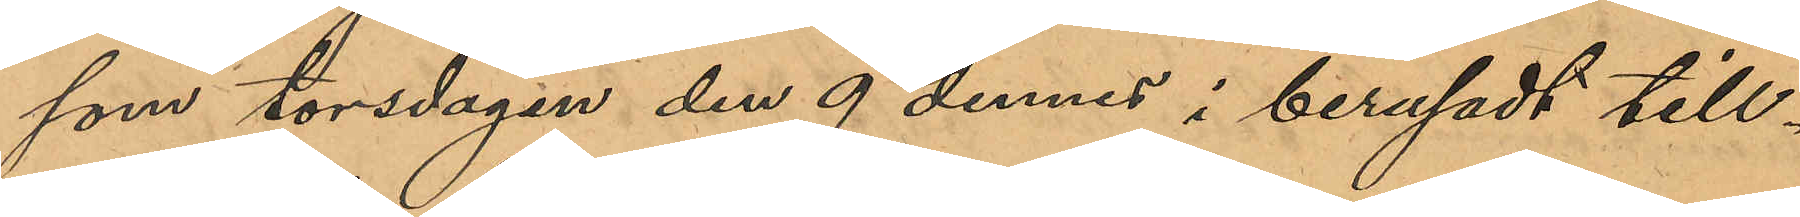som torsdagen den 9 dennes i berusadt till¬
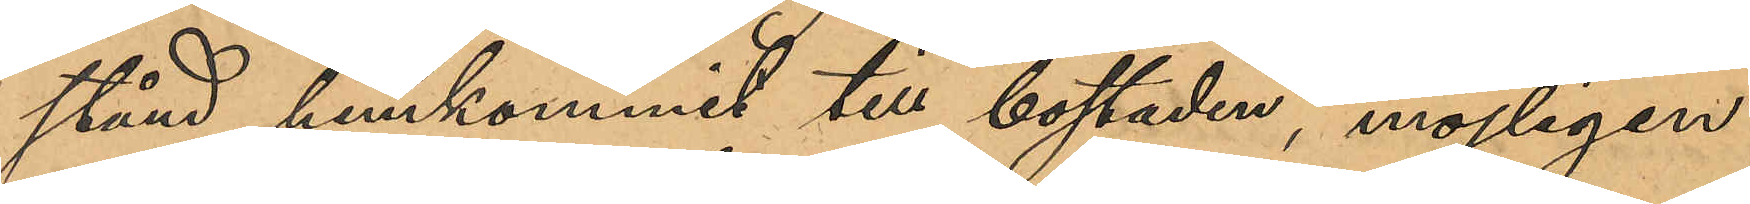stånd hemkommit till bostaden, möjligen
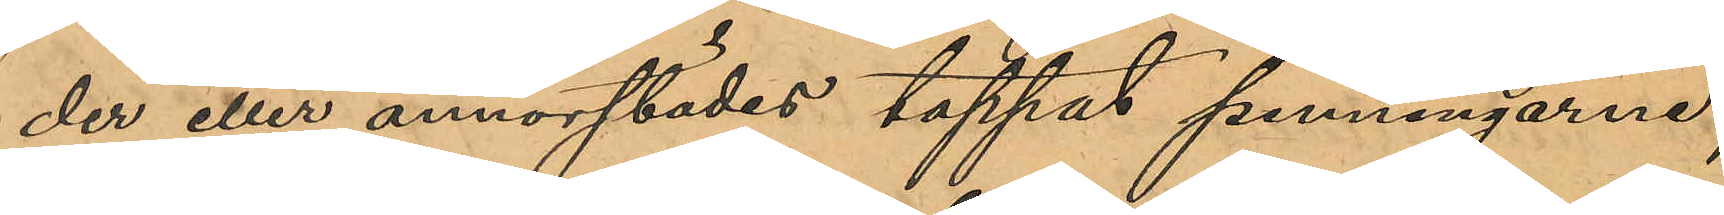der eller annorstädes tappat penningarne;
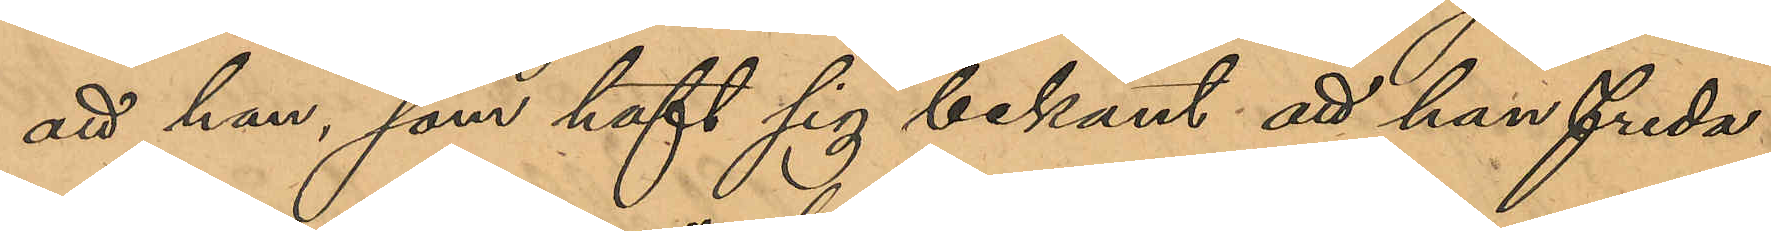att han, som haft sig bekant att han freda¬
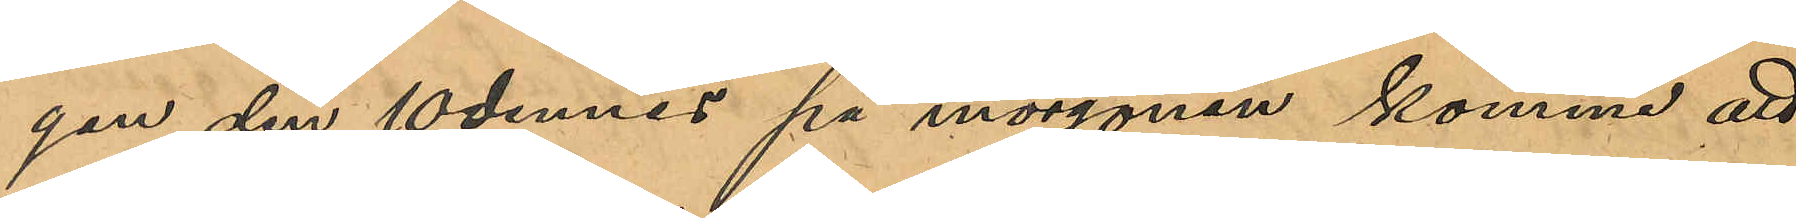gen den 10 dennes på morgonen komme att
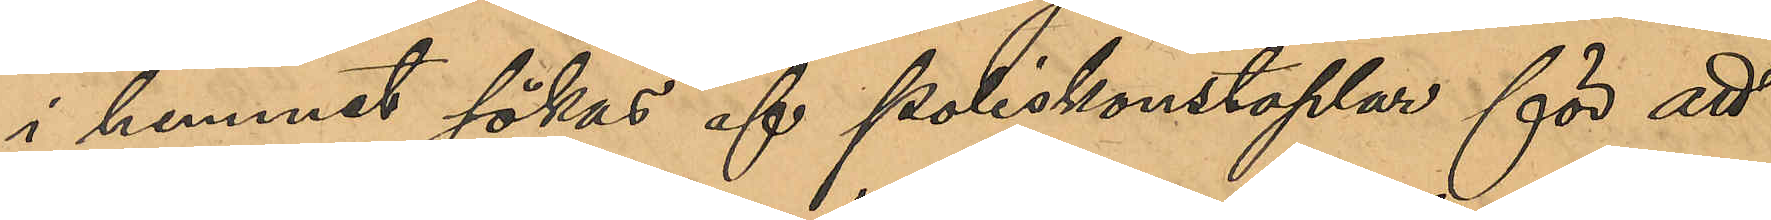i hemmet sökas af poliskonstaplar för att
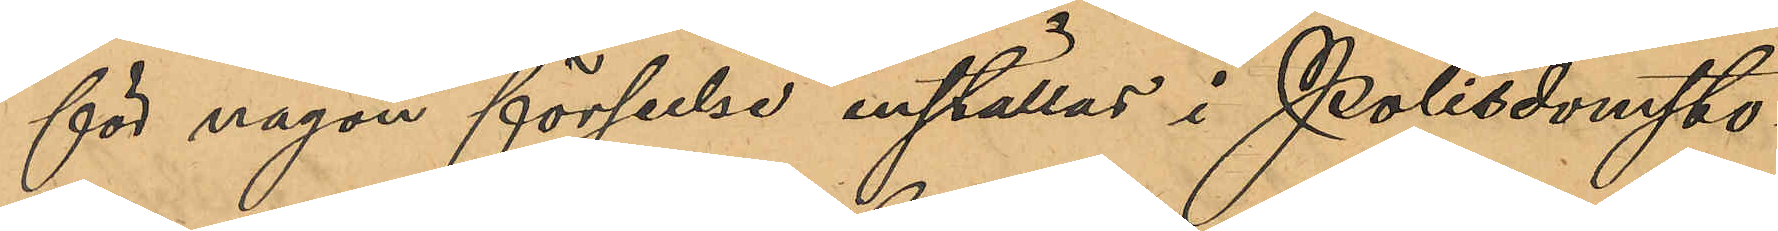för någon förseelse inställas i Polisdomsto¬
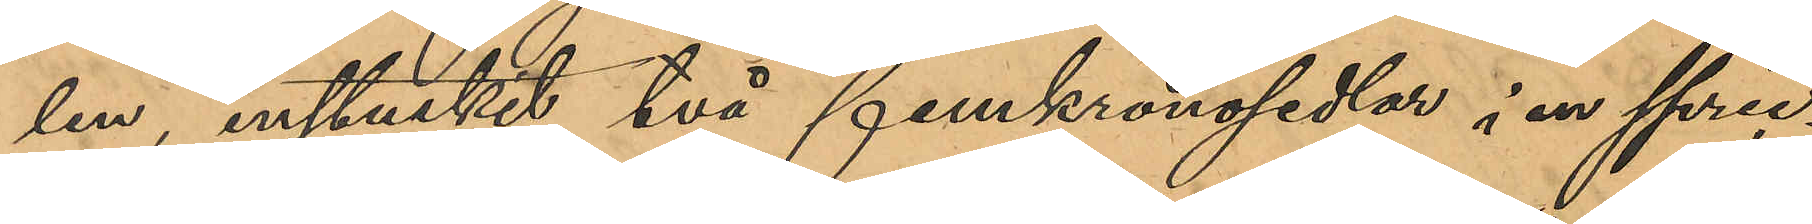len, instuckit två femkronosedlar i en spric¬
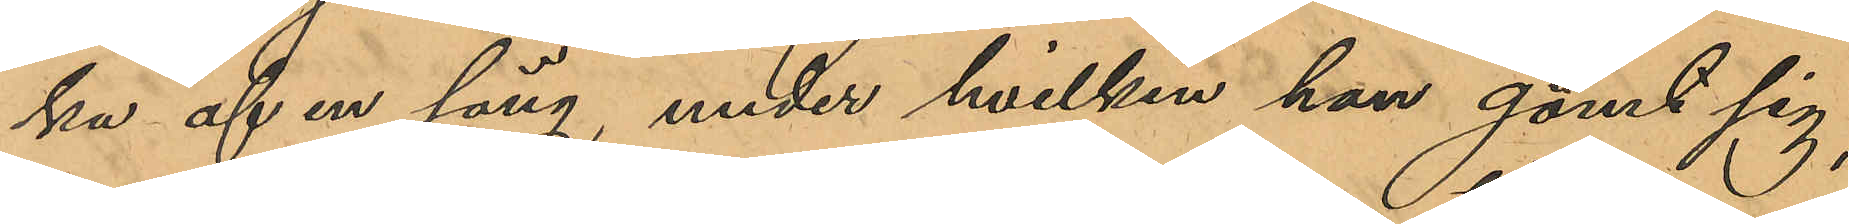ka af en säng, under hvilken han gömt sig;
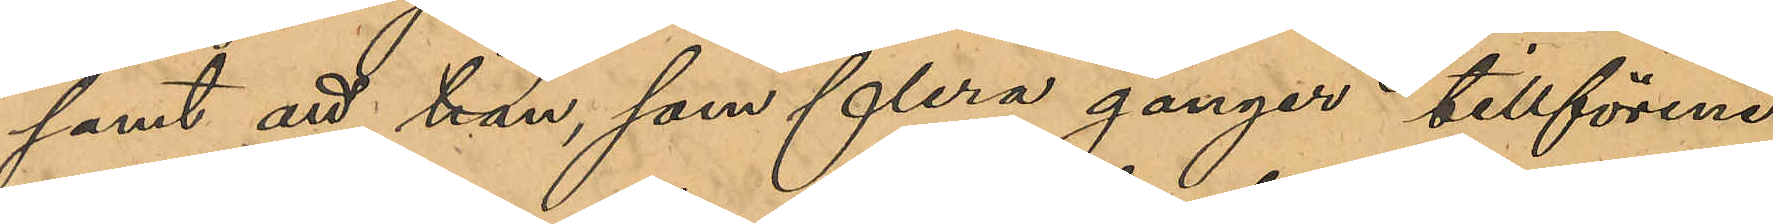samt att han, som flera gånger tillförene
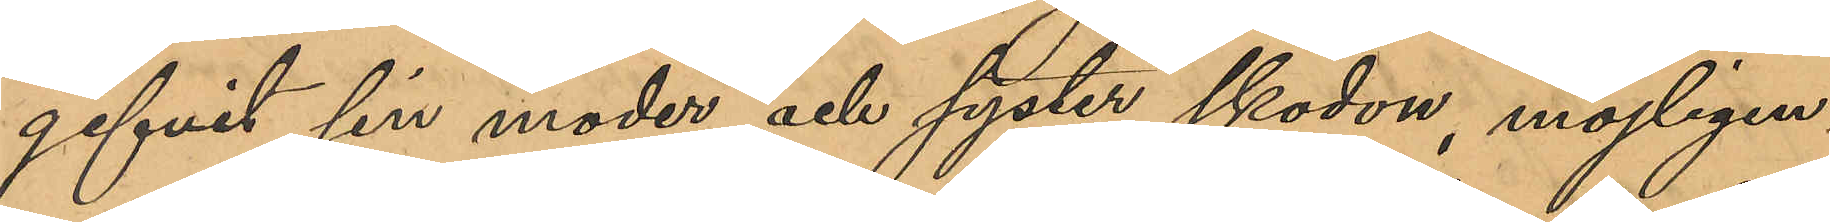gifvit sin moder och syster skodon, möjligen
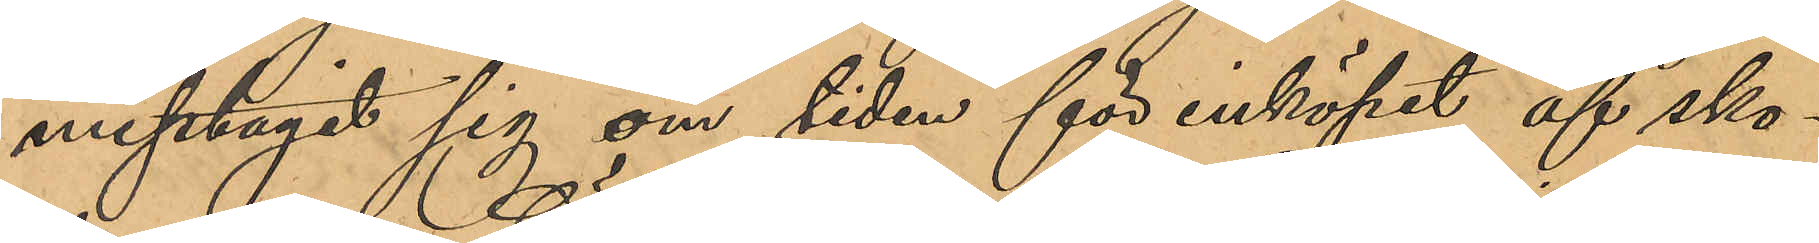misstagit sig om tiden för inköpet af sko¬
